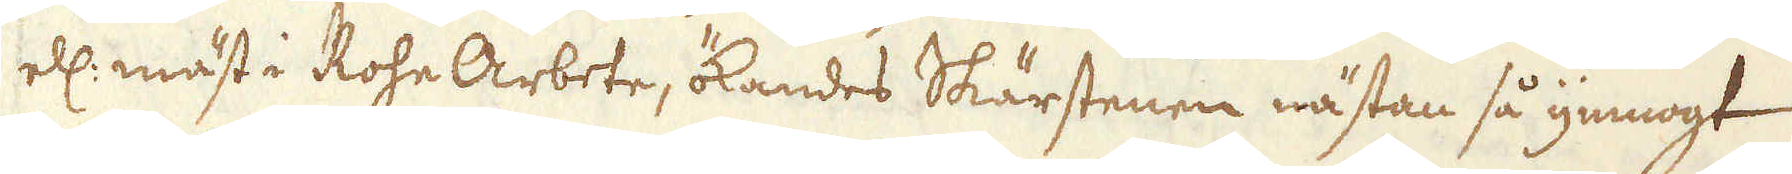ell: mäst i Rohe Arbete, ökandes Skärstenen nästan så ymnogt
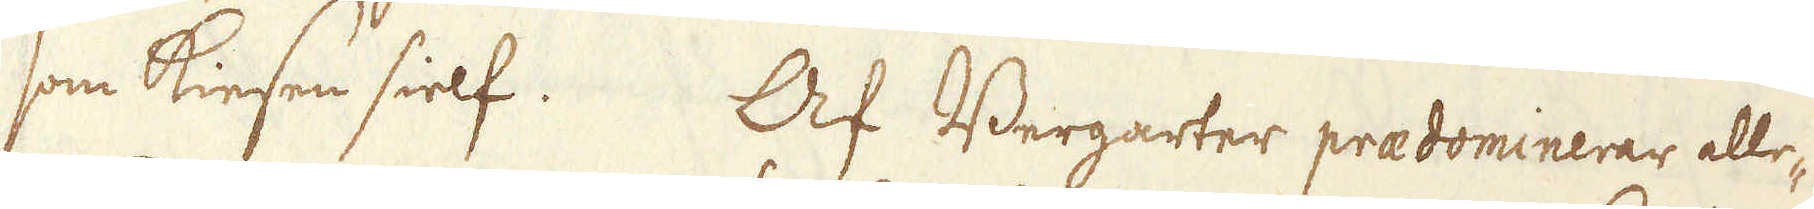som Kiesen sielf. Af Bergarter praedominerar alle-
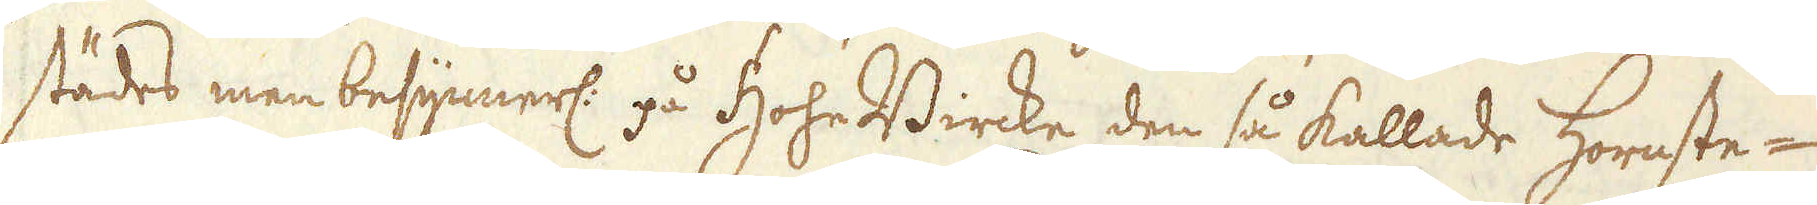städes men besynnerl: på HoheBircke den så kallade hornste-
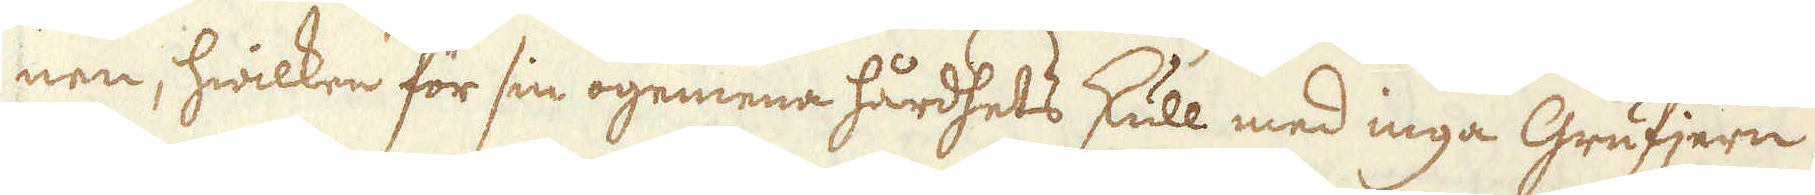nen, hwilken för sin ogemena hårdhets skull med inga Grufjern
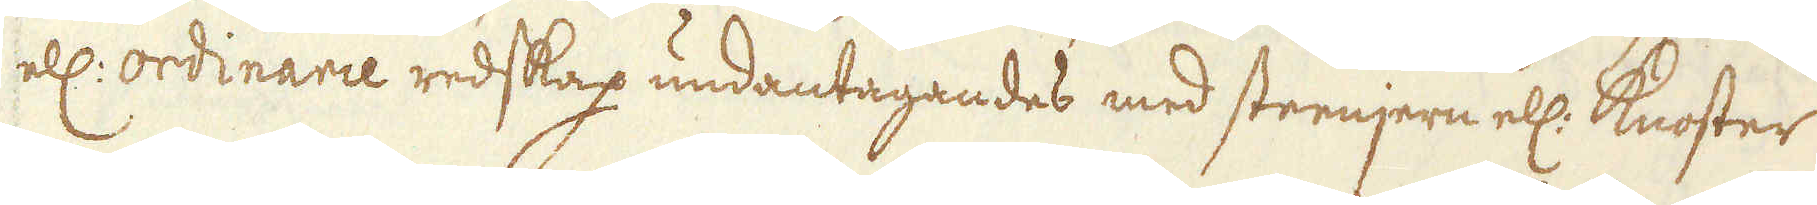ell: ordinarie redskap undantagandes med steenjern ell: knoster
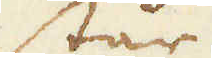står
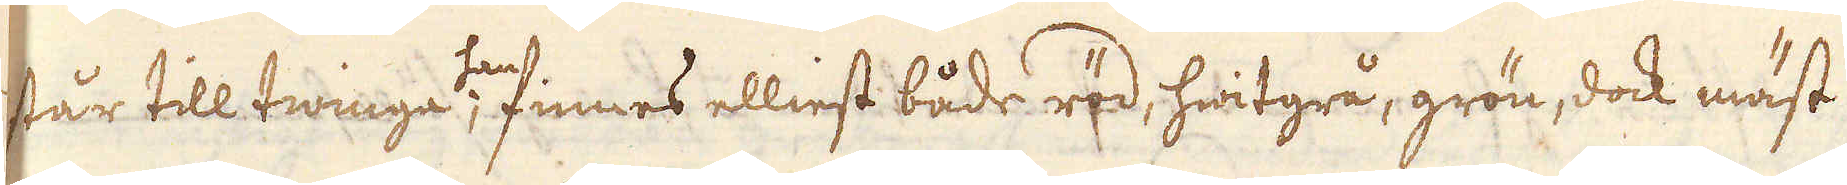står till twinga kan; finnes elliest både röd, hwitgrå, grön, dock mäst
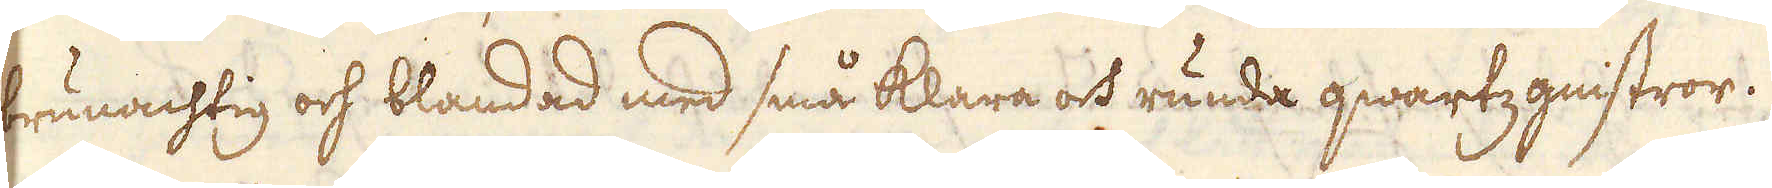brunachtig och blandad med små klara och runda qwartzgnistror.
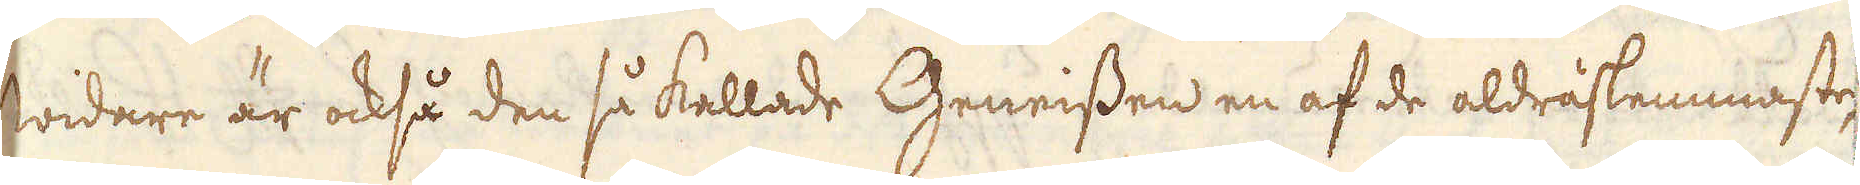Widare är också den så kallade Geneissen en af de aldraslemmaste,
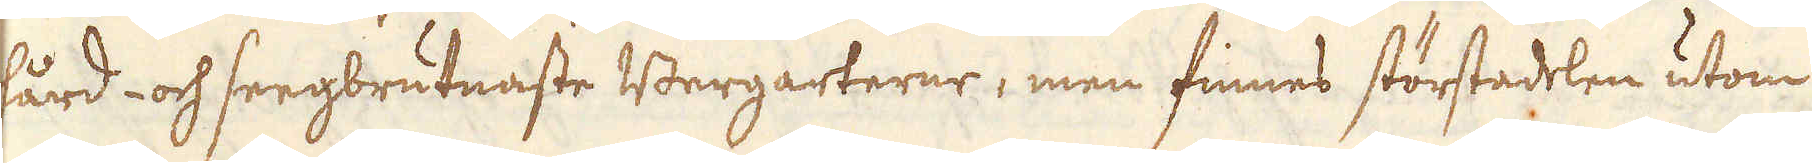hård- och seegbrutnaste Bergarterne, men finnes störstadelen utom
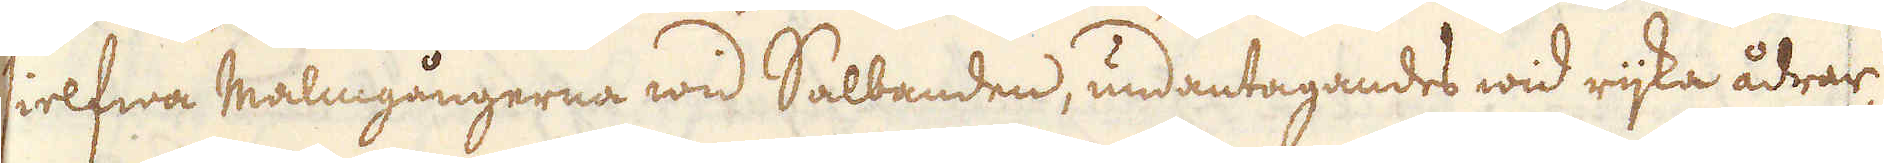sielfwa Malmgångerna wid Salbanden, undantagandes wid rijka ådrar,
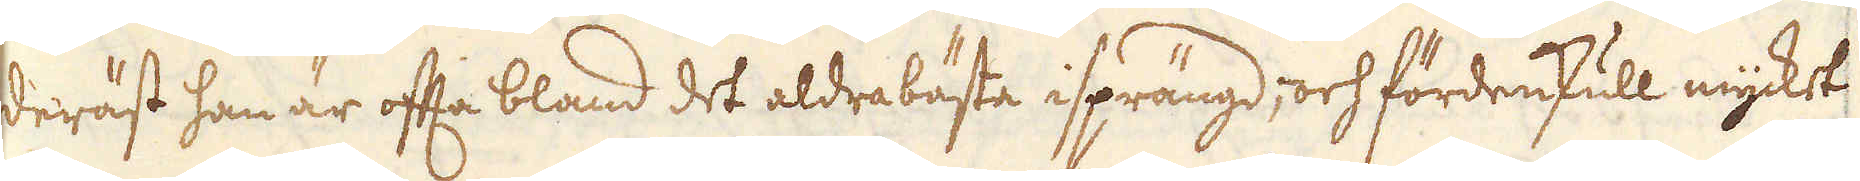deräst han är ofta bland det aldrabästa isprängd, och fördenskull mycket
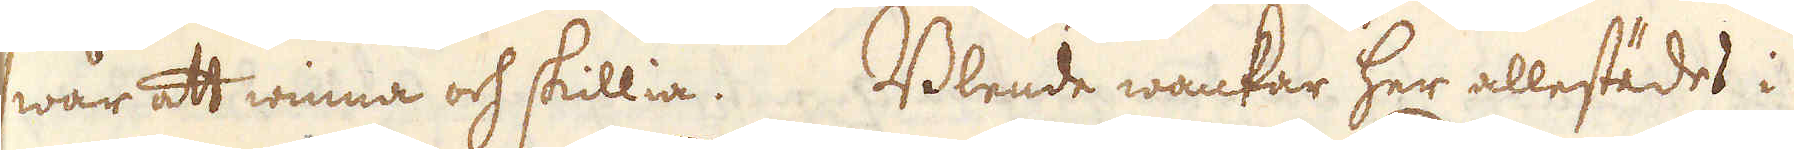swår att winna och skillia. Blende wankar her allestädes i
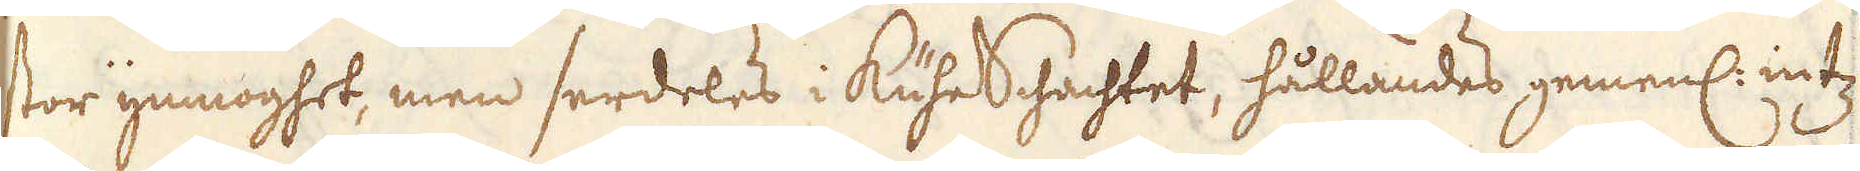stor ymnoghet, men serdeles i kuheschachtet, hållandes gemenl: intz
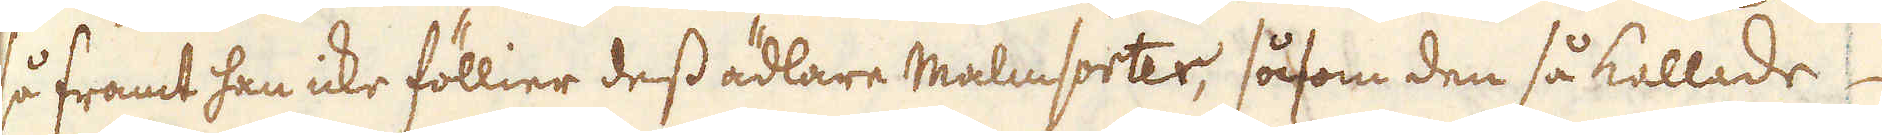så framt han icke föllier dess ädlare Malmsorter, såsom den så kallade
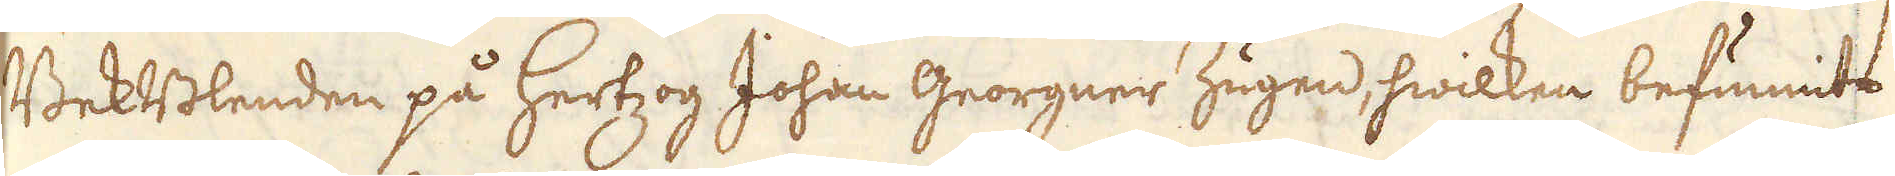BektBlenden på hertzog Johan Georgner Zugen, hwilken befunnits
